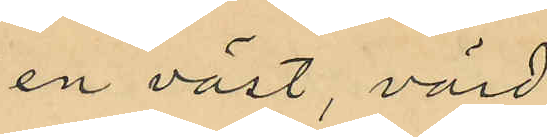en väst, värd
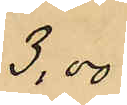3,00
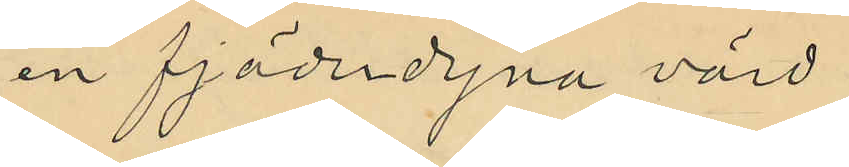en fjäderdyna värd
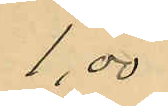1,00
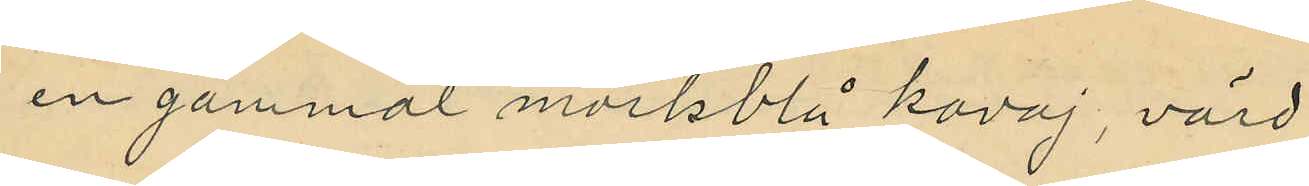en gammal mörkblå kavaj, värd
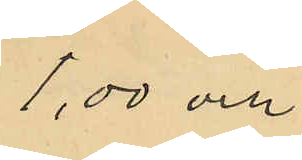1,00 och
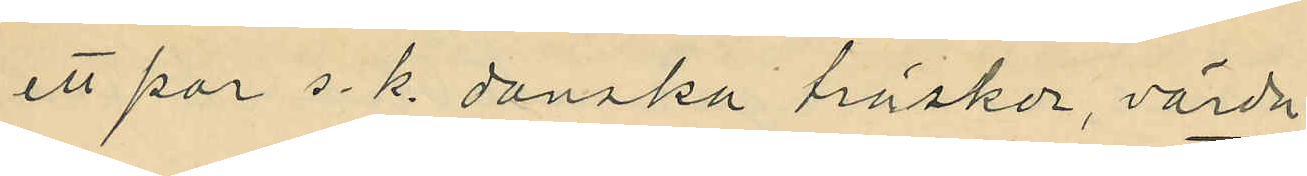ett par s. k. danska träskor, värda
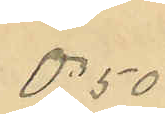0,50
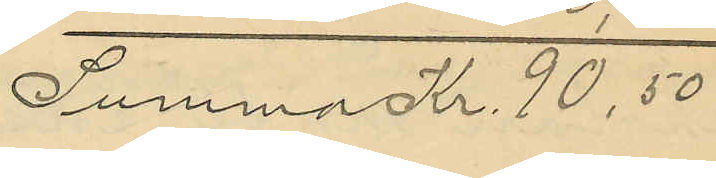Summa Kr. 90,50
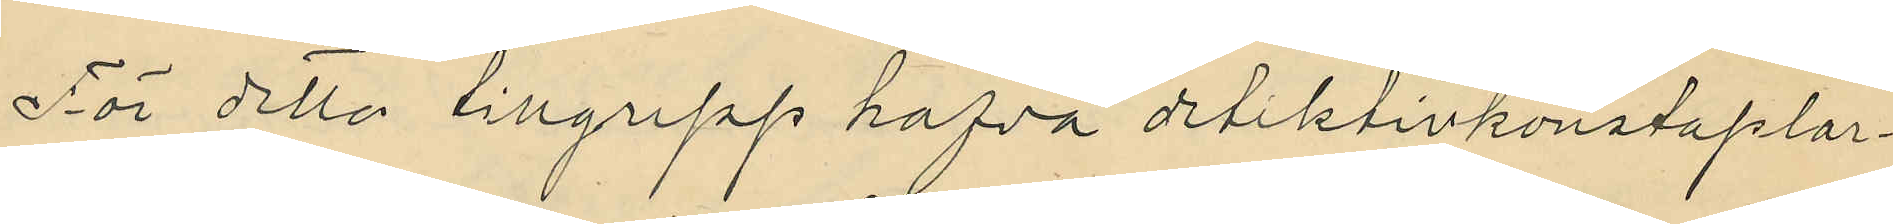För detta tillgrepp hafva detektivkonstaplar¬
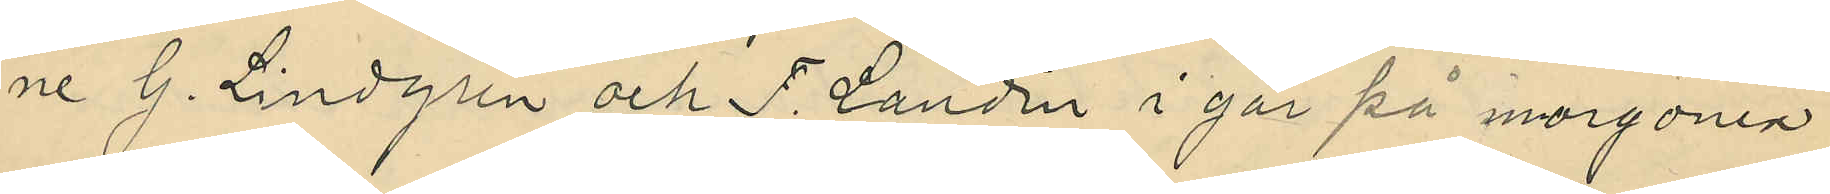ne G. Lindgren och F. Landin i går på morgonen
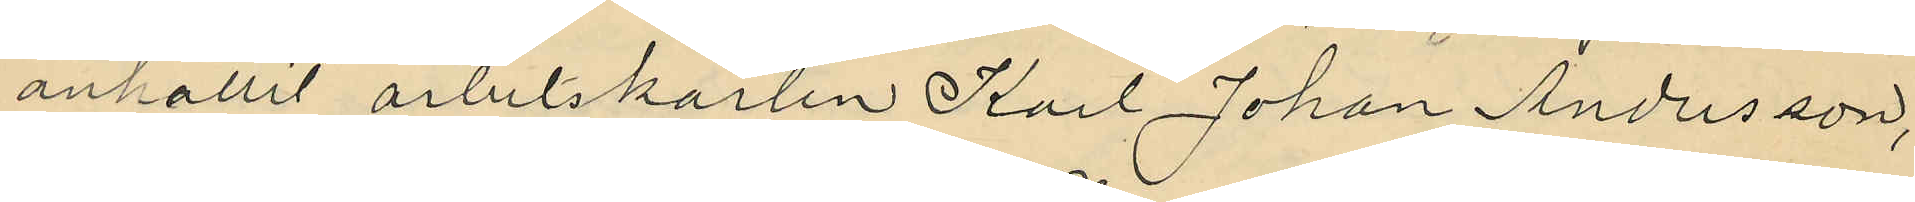anhållit arbetskarlen Karl Johan Andersson,
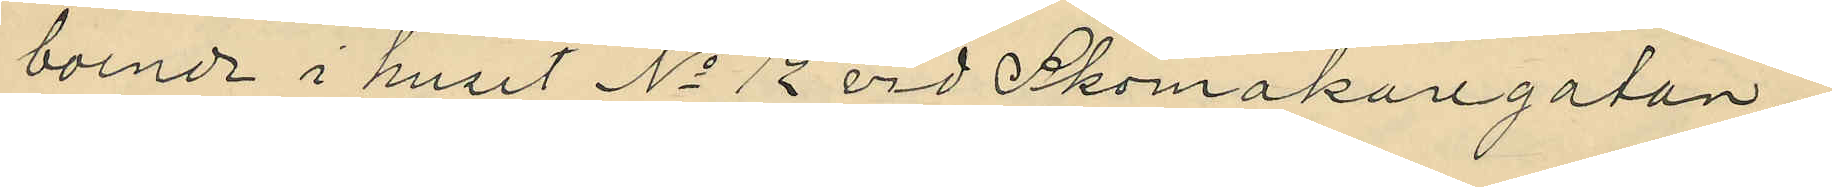boende i huset No 12 vid Skomakaregatan.
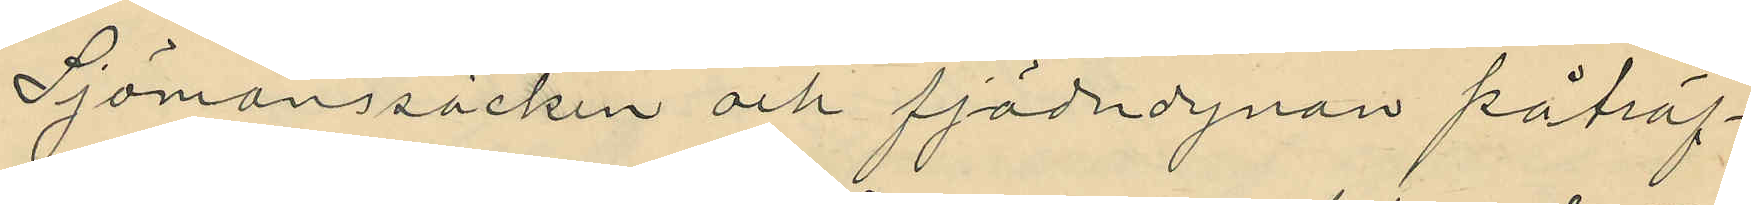Sjömanssäcken och fjäderdynan påträf¬
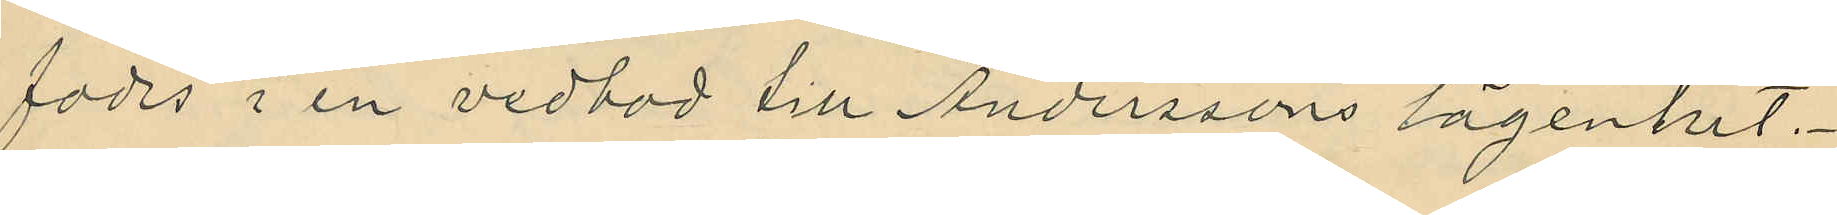fades i en vedbod till Anderssons lägenhet.
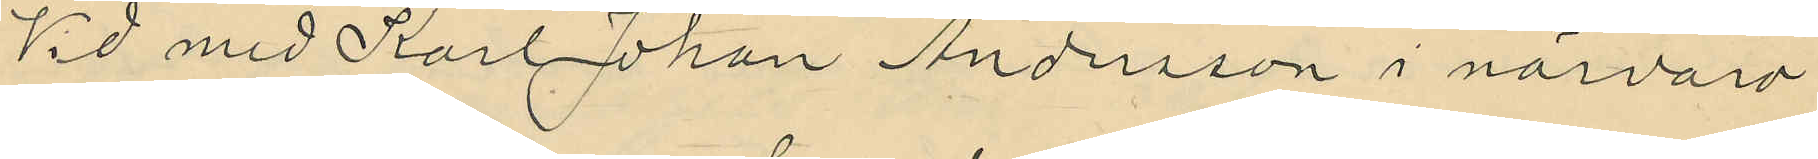Vid med Karl Johan Andersson i närvaro
